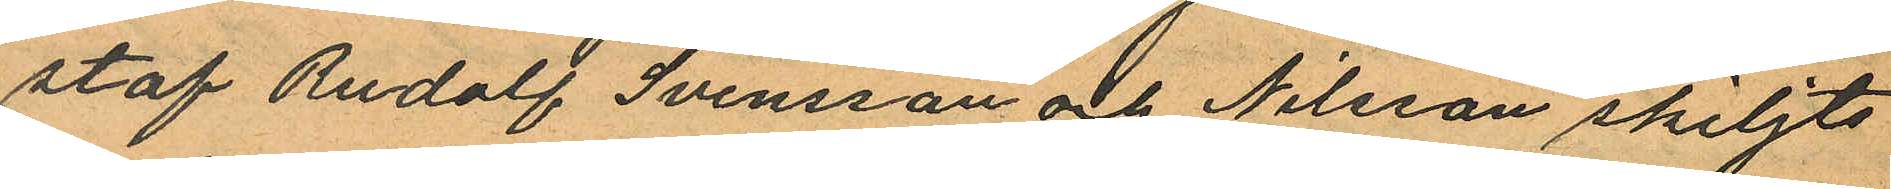staf Rudolf Svensson och Nilsson skiljts
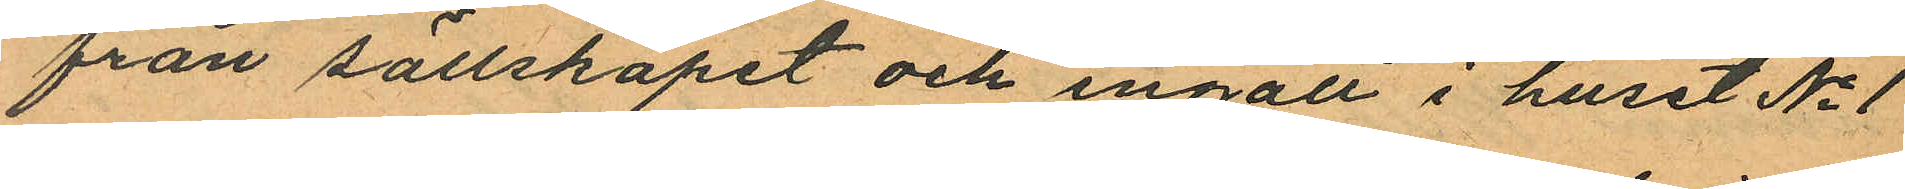från sällskapet och ingått i huset No 1
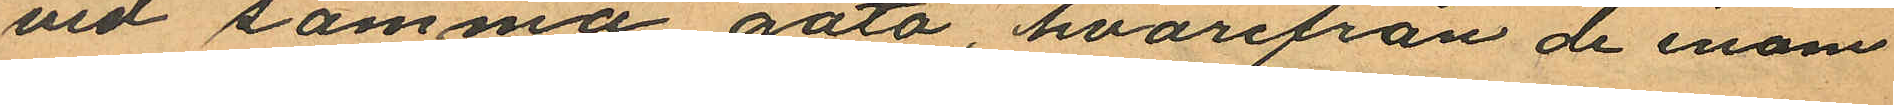vid samma gata, hvarifrån de inom
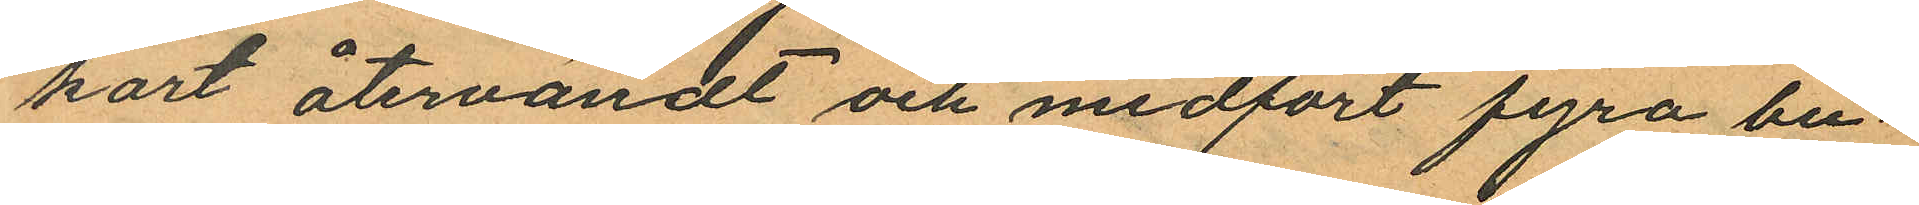kort återvändt och medfört fyra bu¬
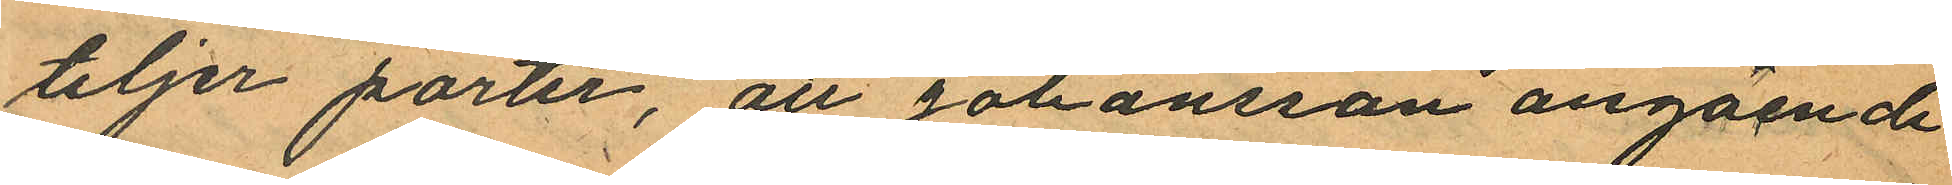teljer porter, att Johansson angående
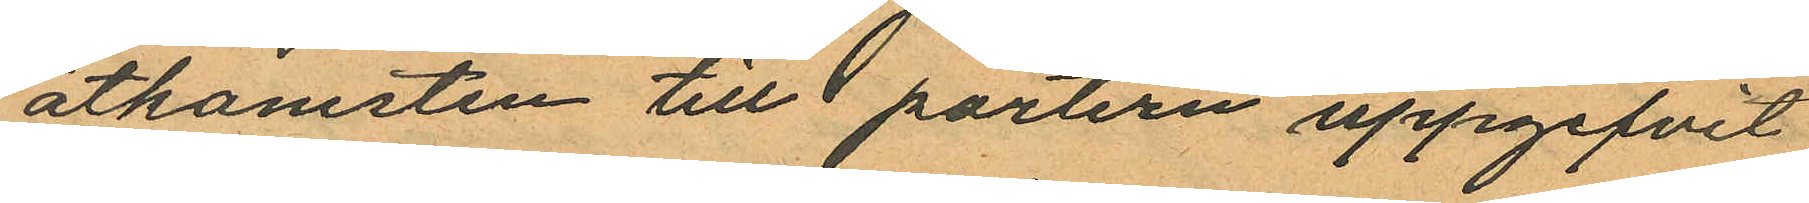åtkomsten till portern uppgifvit
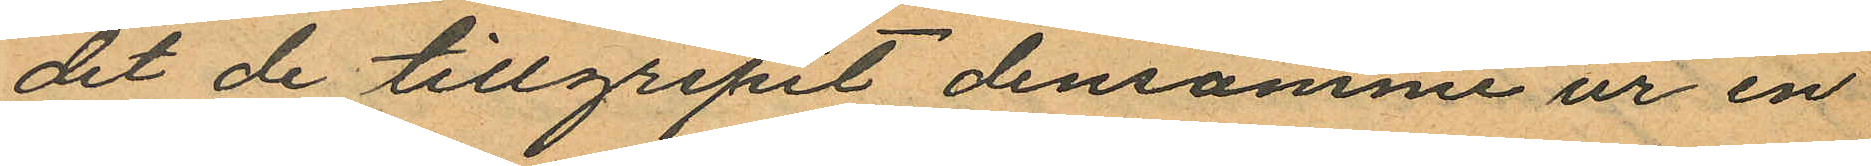det de tillgripit densamme ur en
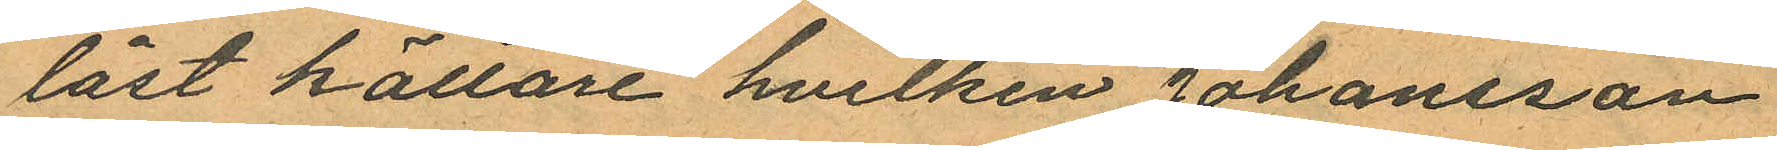låst källare hvilken Johansson
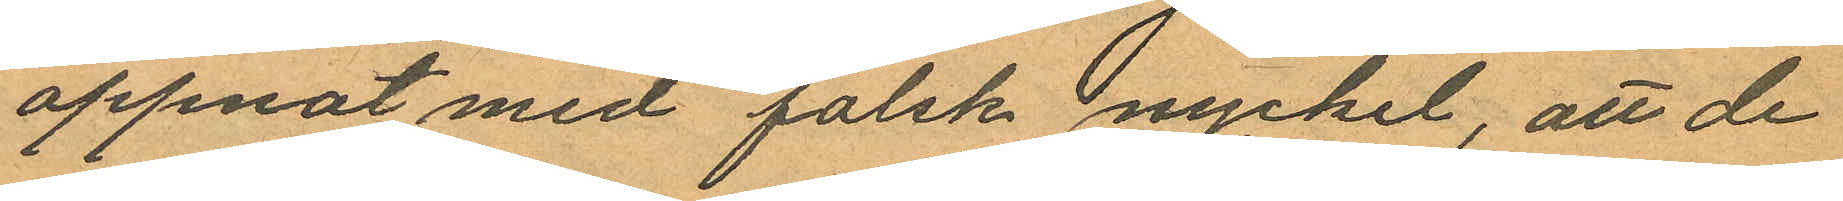öppnat med falsk nyckel, att de
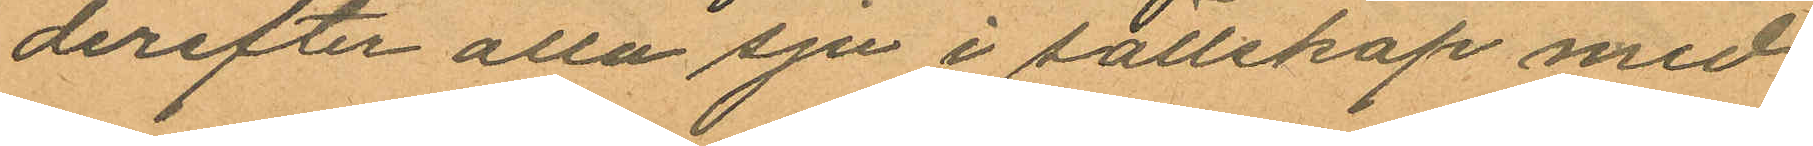derefter alla sju i sällskap med
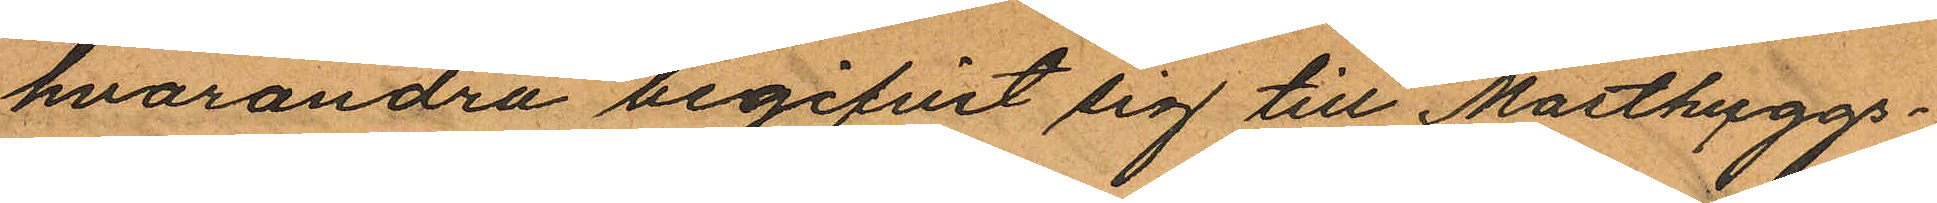hvarandra begifvit sig till Masthuggs¬
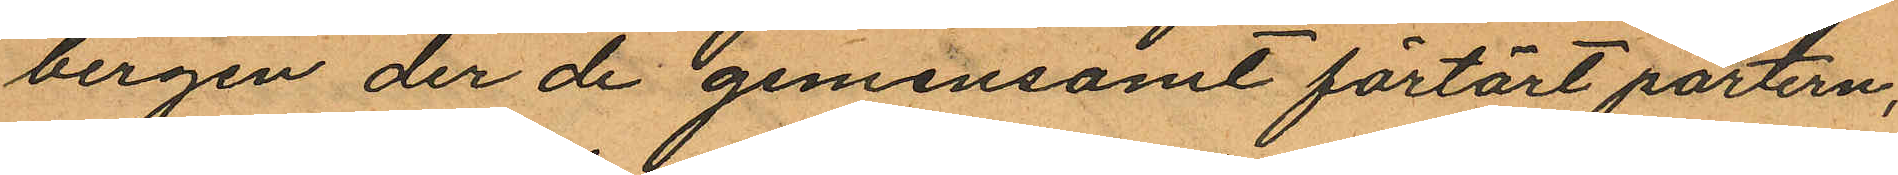bergen der de gemensamt förtärt portern,
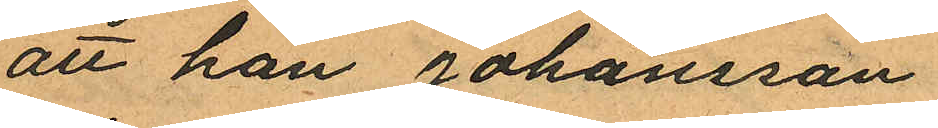att han Johansson
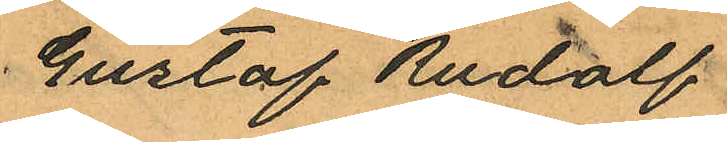Gustaf Rudolf
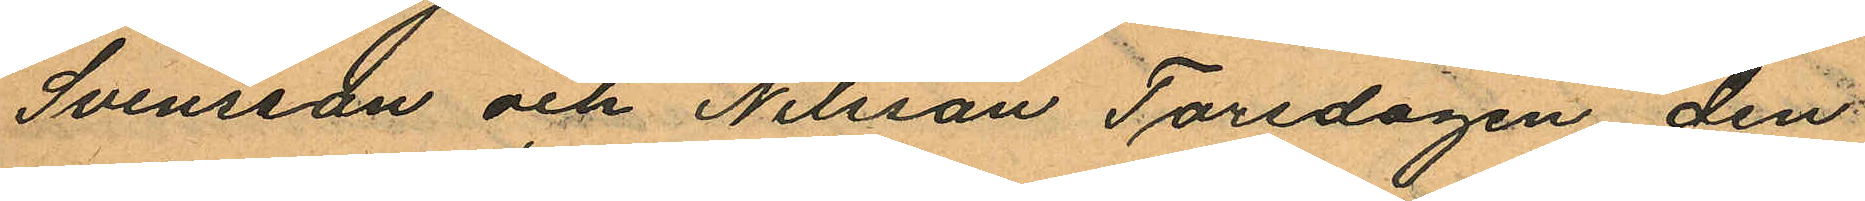Svensson och Nilsson Torsdagen den
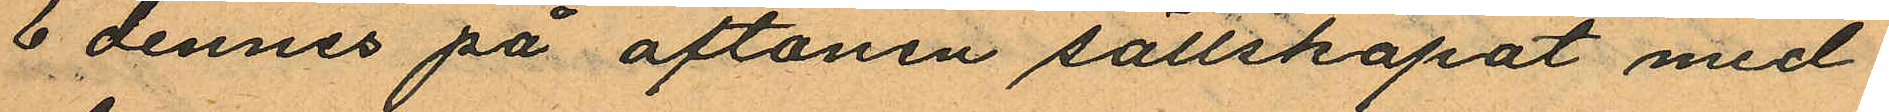6 dennes på aftonen sällskapat med
